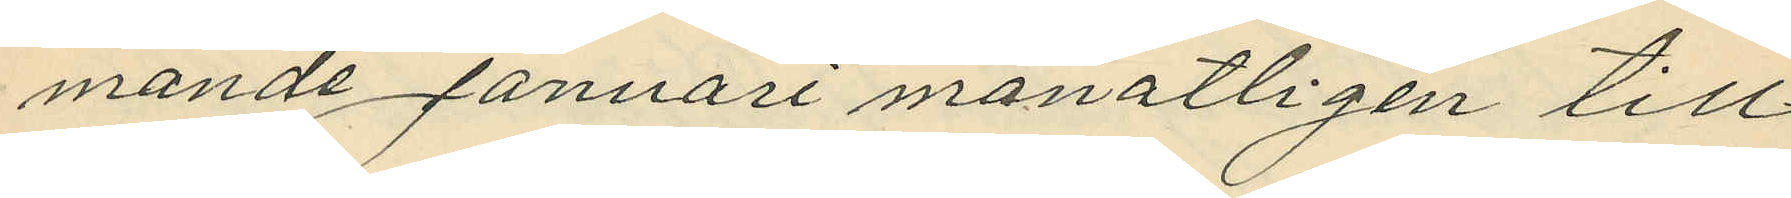mande Januari månatligen till
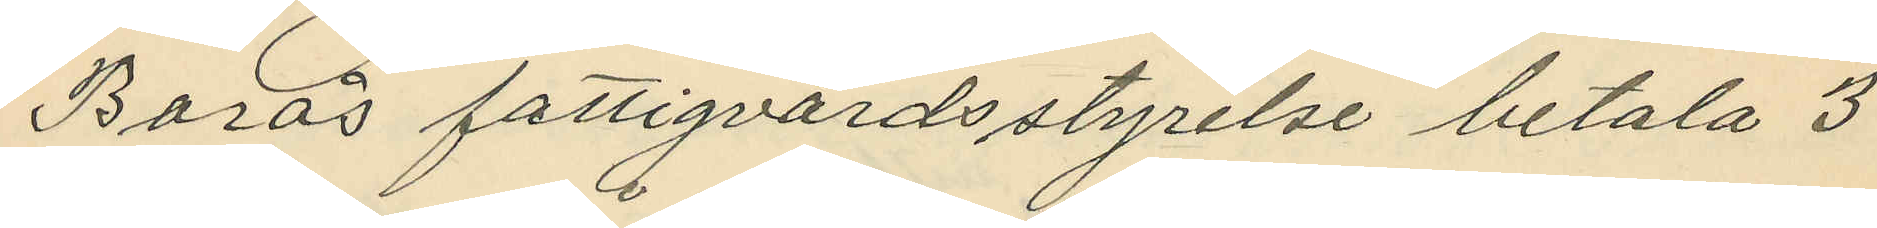Borås fattigvårdsstyrelse betala 3
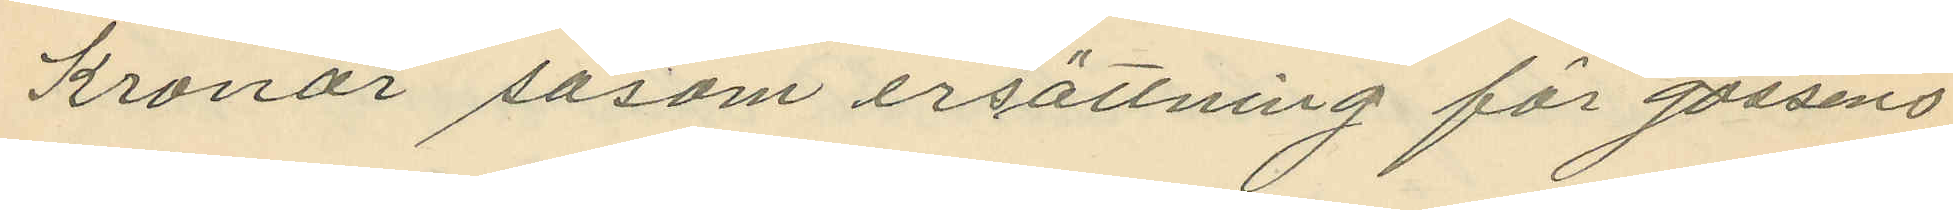Kronor såsom ersättning för gossens
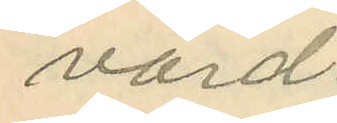vård.
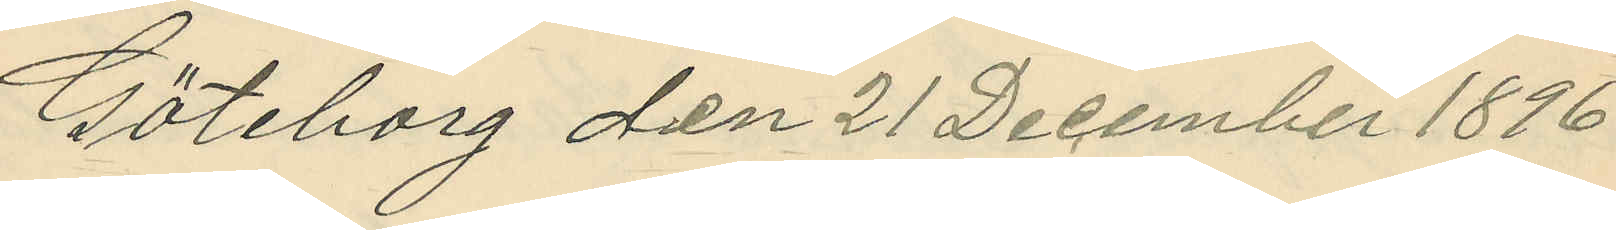Göteborg den 21 December 1896
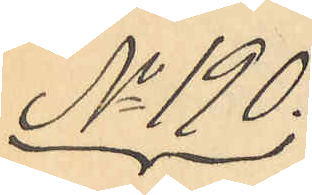No 190.
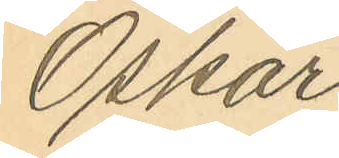Oskar
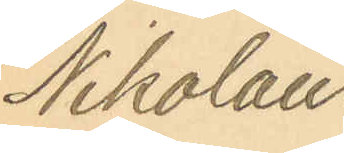Nikolaus
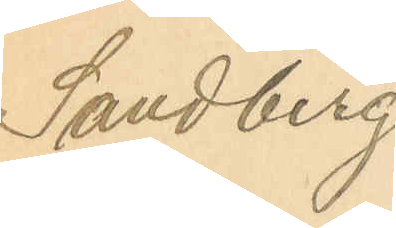Sandberg.
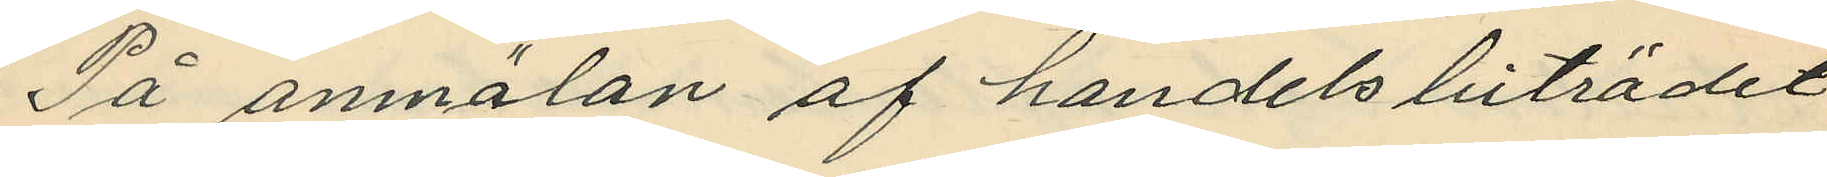På anmälan af handelsbiträdet
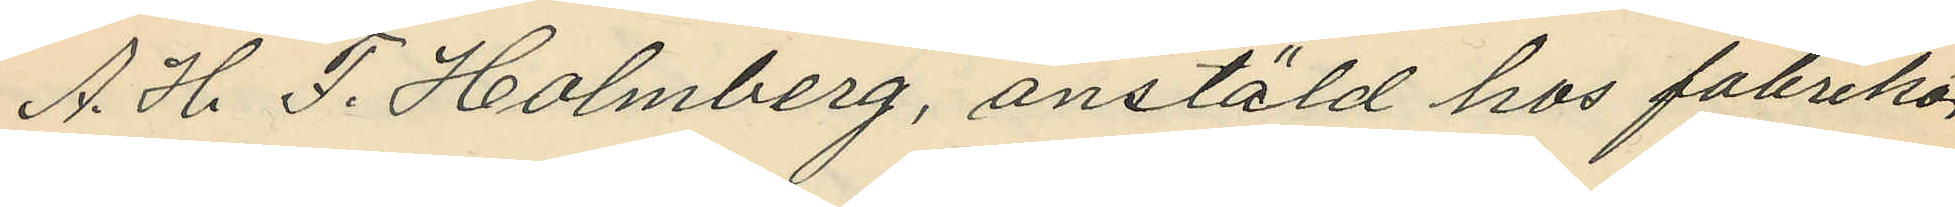A. H. F. Holmberg, anstäld hos fabrikör
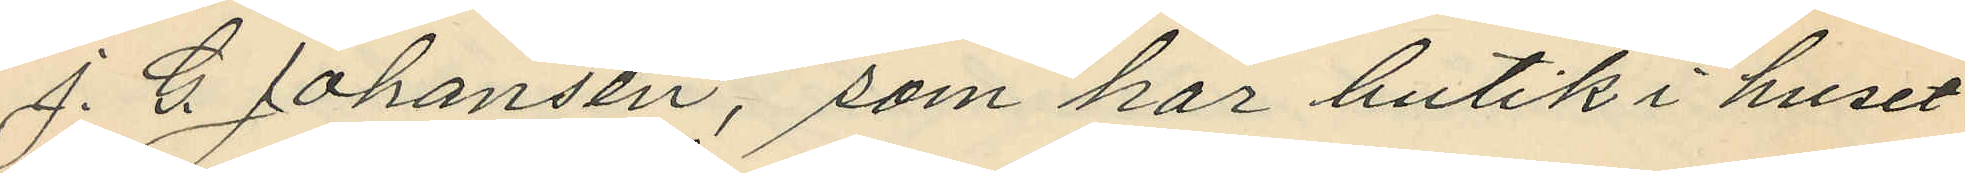J. G. Johansén, som har butik i huset
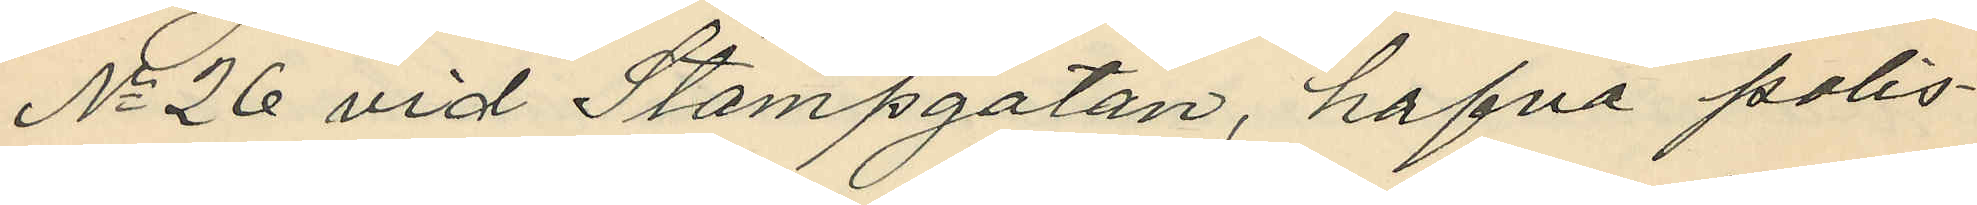No 26 vid Stampgatan, hafva polis¬
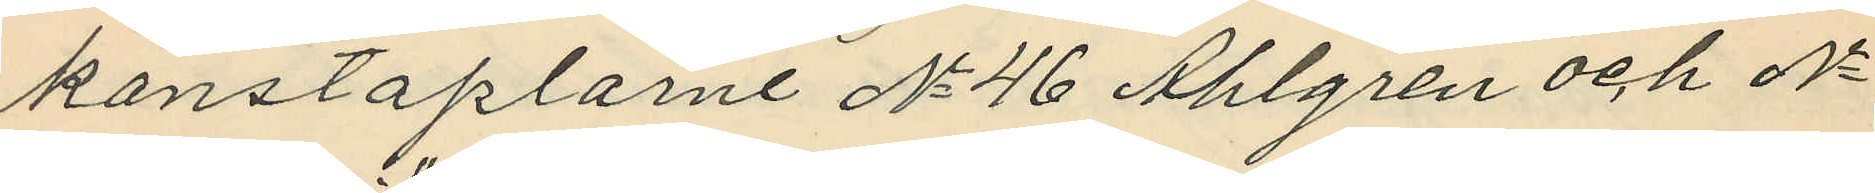konstaplarne No 46 Ahlgren och No
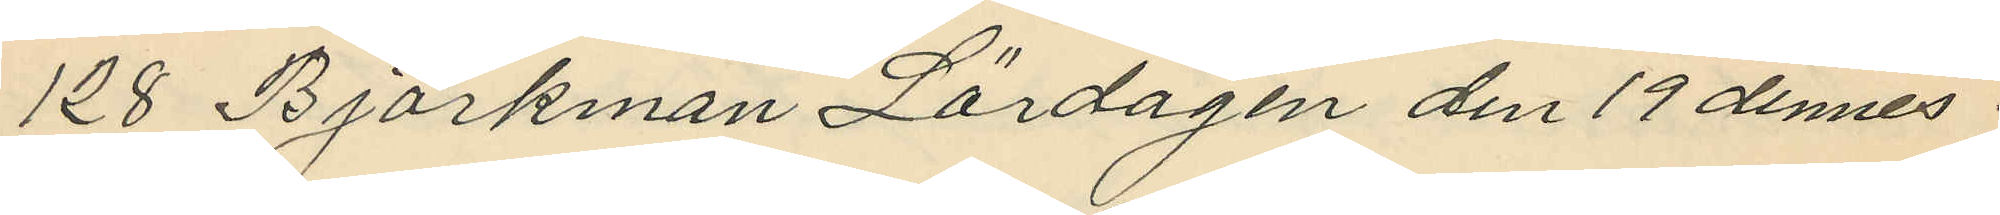128 Björkman Lördagen den 19 dennes
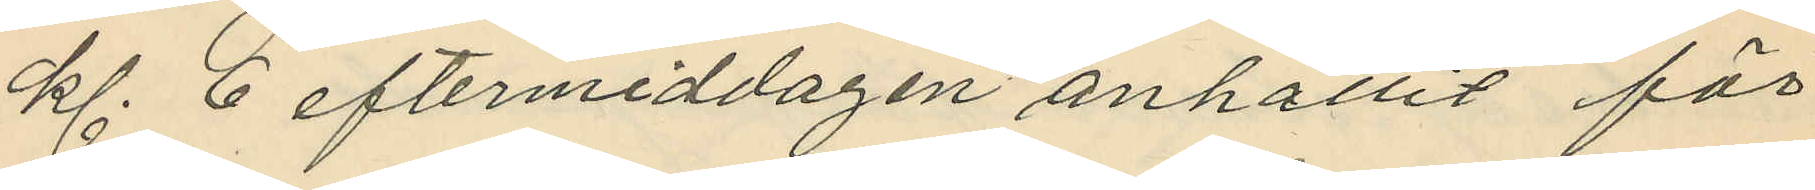kl. 6 eftermiddagen anhållit för
